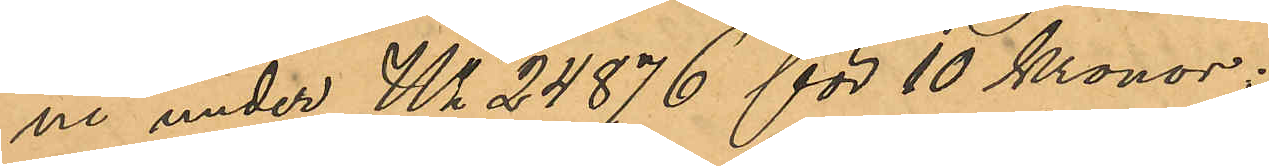ne under No 24876 för 10 Kronor;
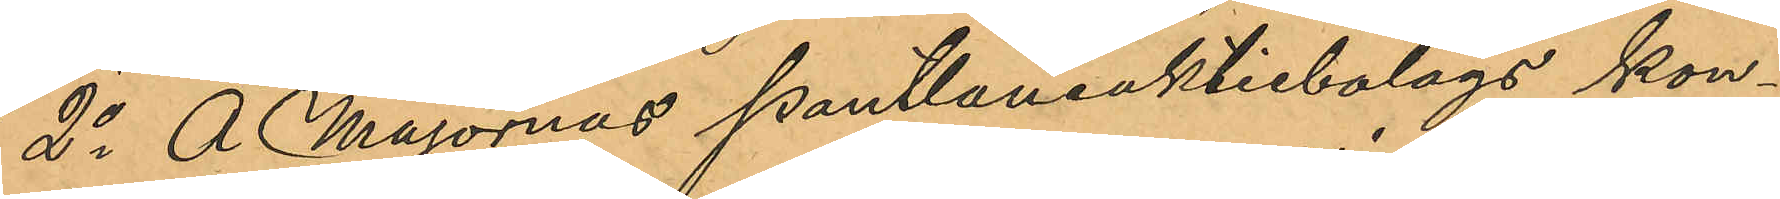2o Å Majornas Pantlåneaktiebolags kon¬
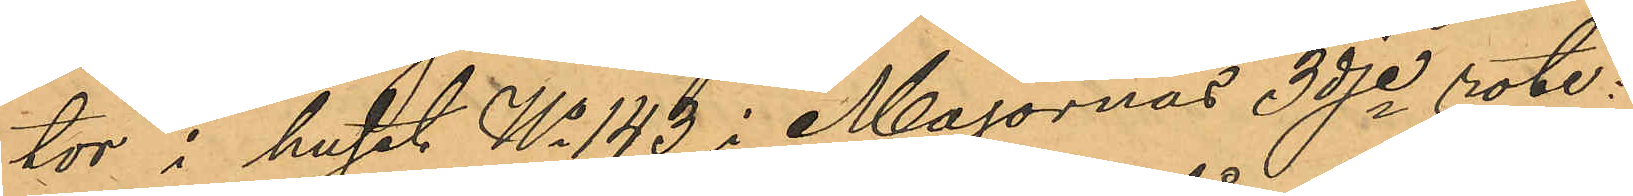tor i huset No 143 i Majornas 3dje rote:
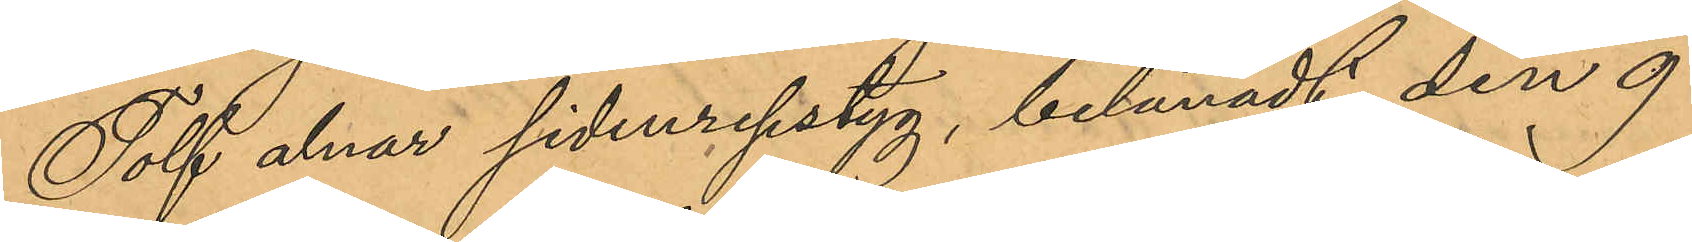Tolf alnar sidenripstyg, belånadt den 9
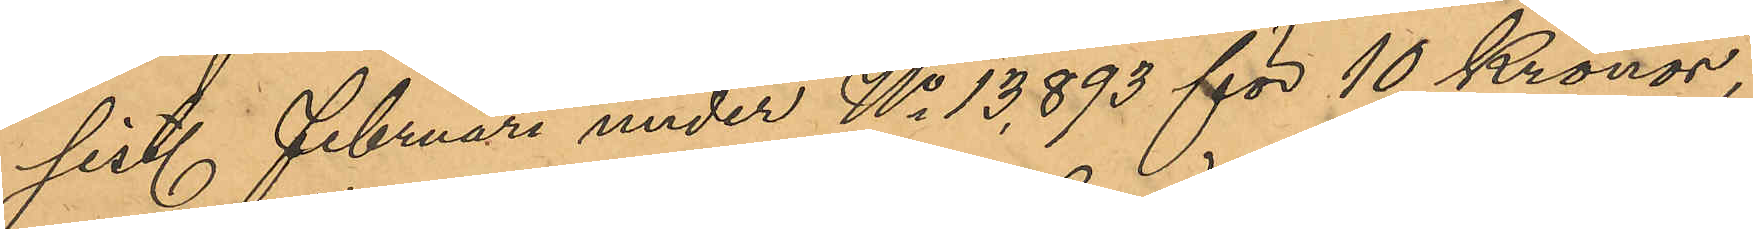sist. Februari under No 13,893 för 10 Kronor,
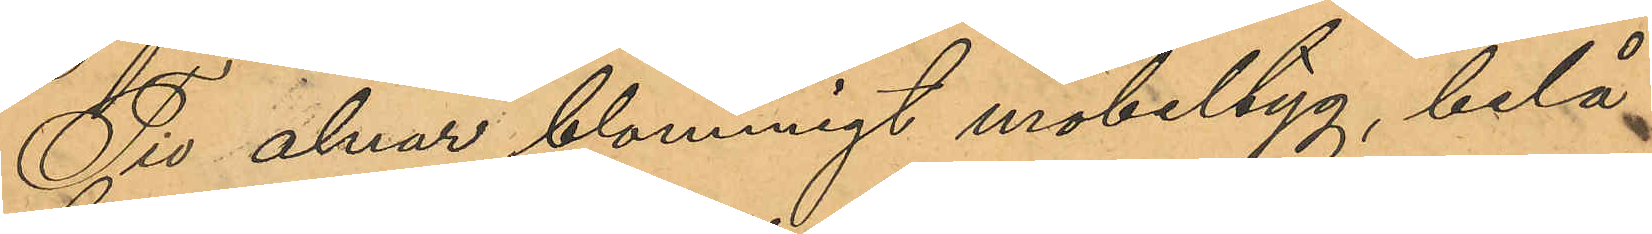Tio alnar blommigt möbeltyg, belå¬
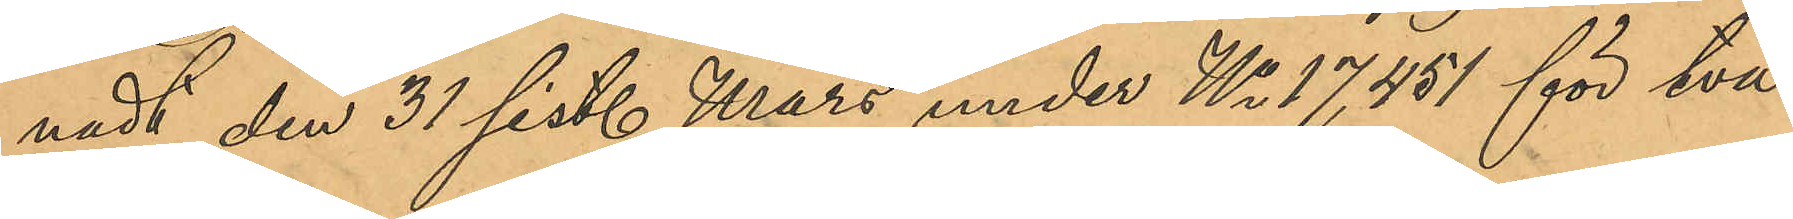nadt den 31 sist. Mars under No 17,451 för två
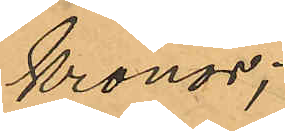Kronor;
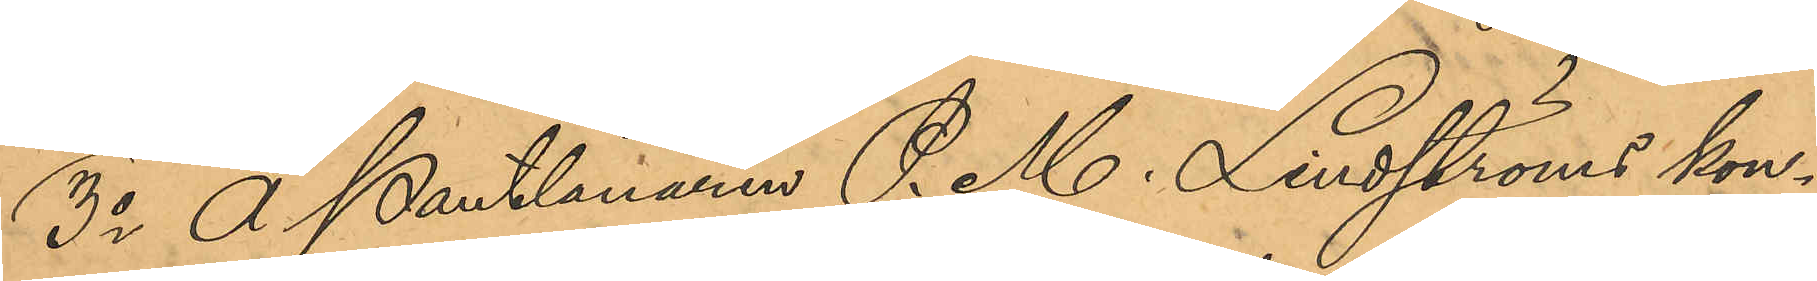3o Å Pantlånaren P. M. Lindströms kon¬
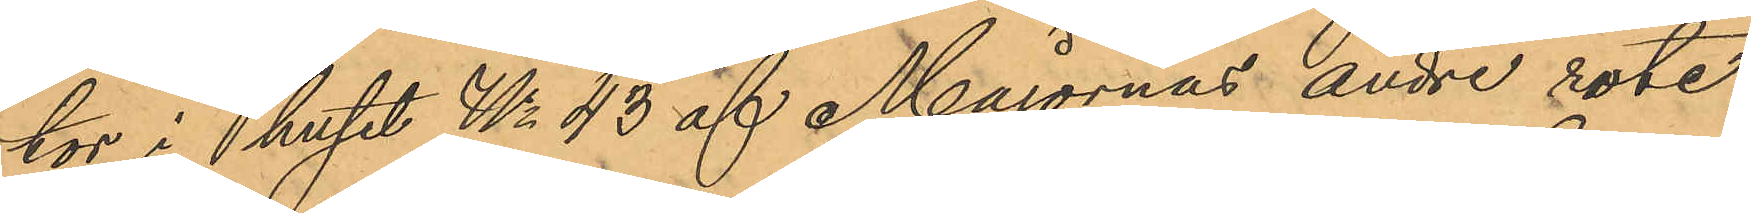tor i huset No 43 af Majornas andre rote:
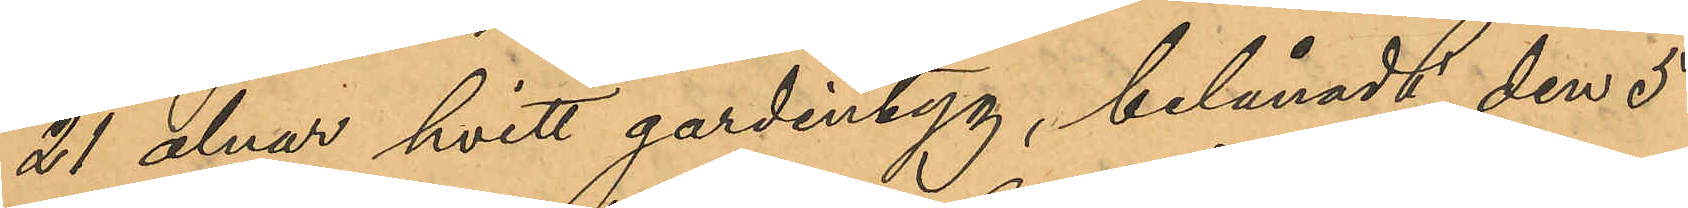21 alnar hvitt gardintyg, belånadt den 5
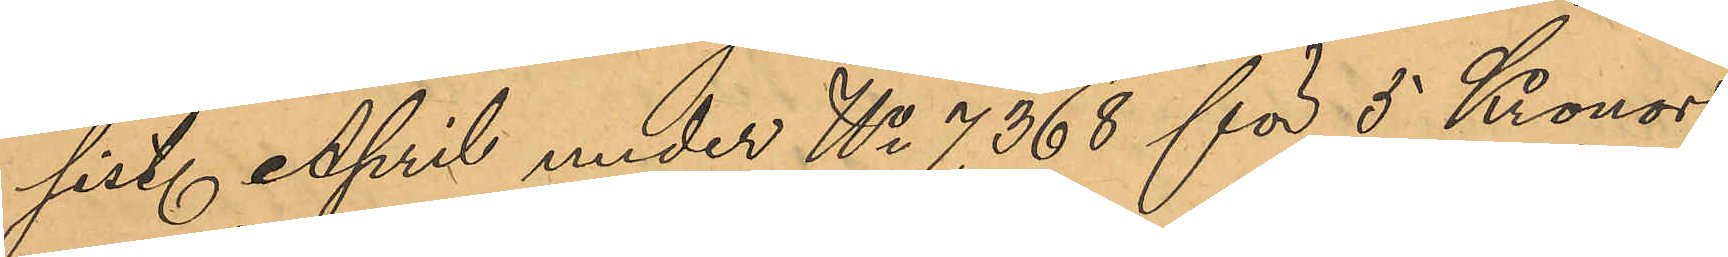sist. April under No 7,368 för 5 Kronor,
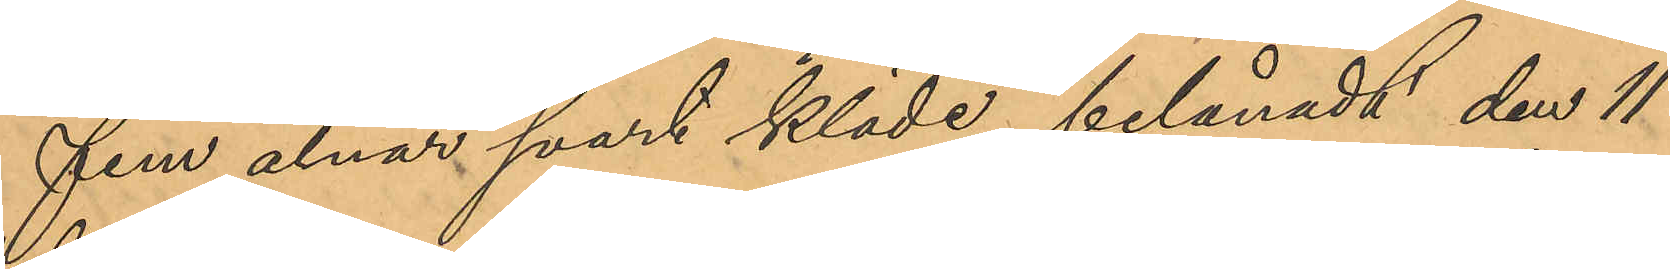fem alnar svart kläde, belånadt den 11
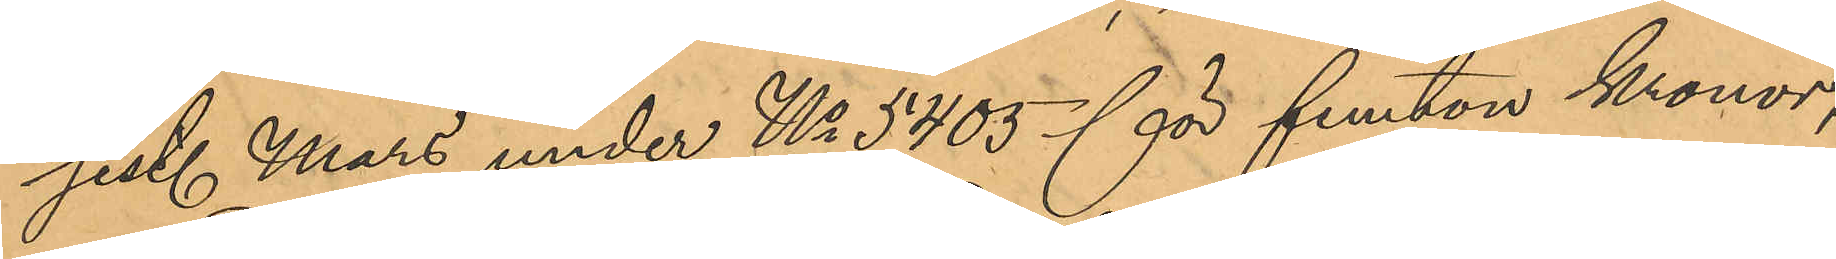sist. Mars under No 5405 för femton kronor,
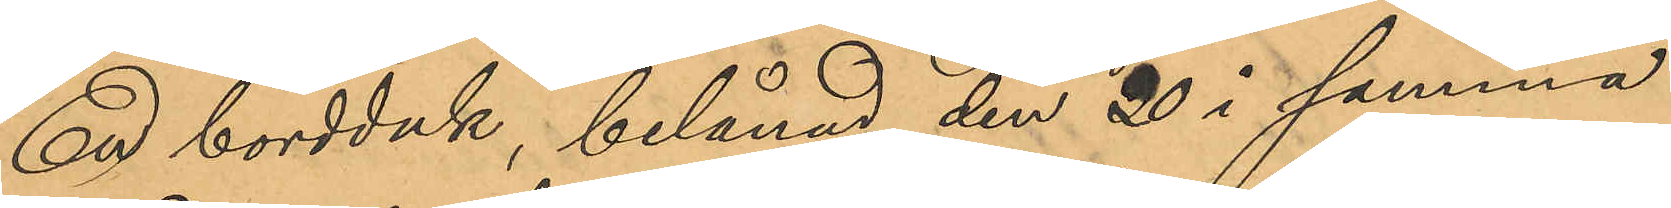En bordduk, belånad den 20 i samma
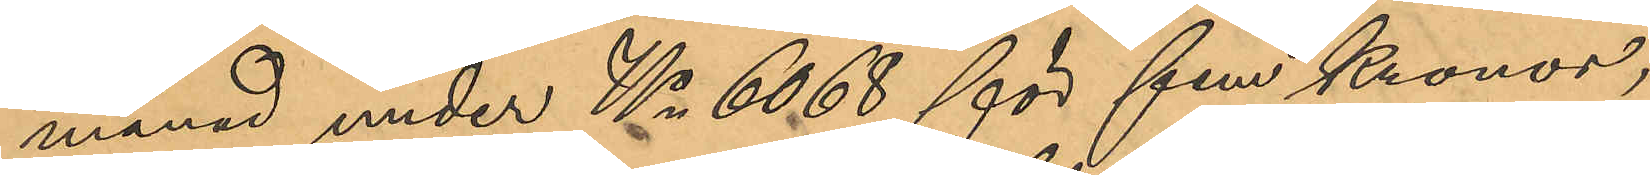månad under No 6068 för fem Kronor,
